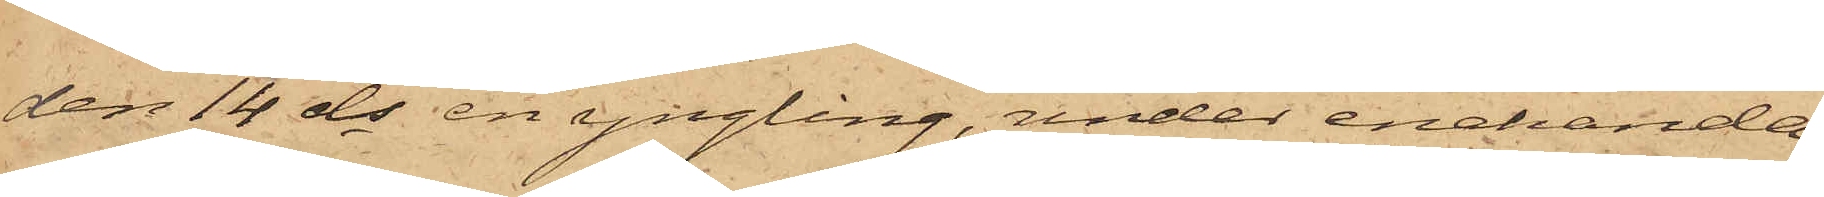den 14 ds en yngling, under enahanda
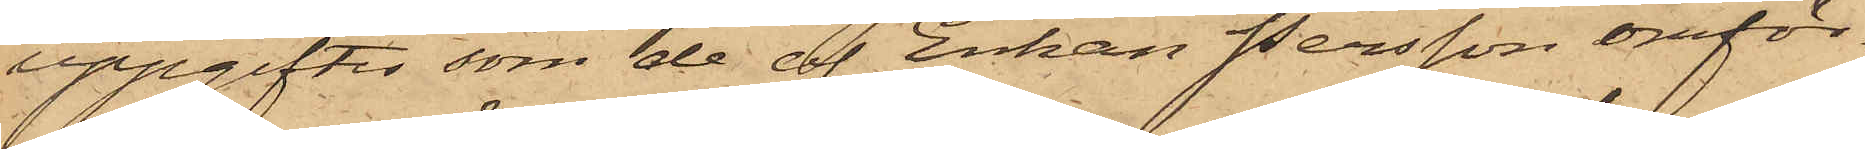uppgifter, som de af Enkan Persson omför¬
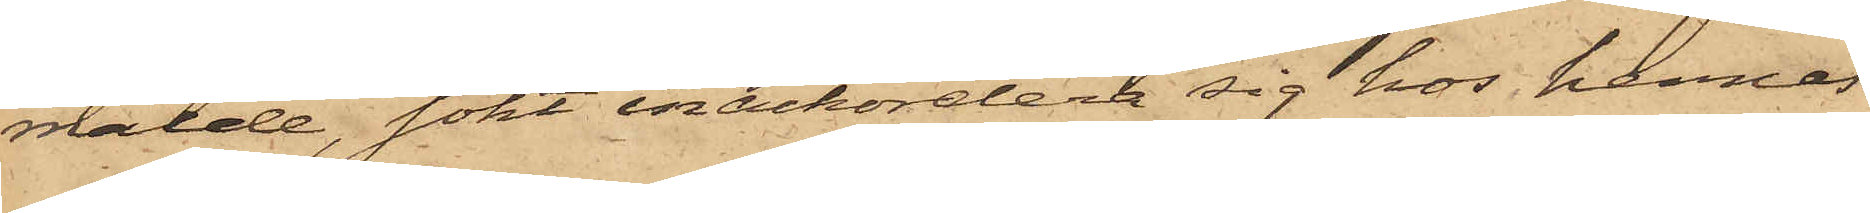mälde, sökt inackordera sig hos hennes
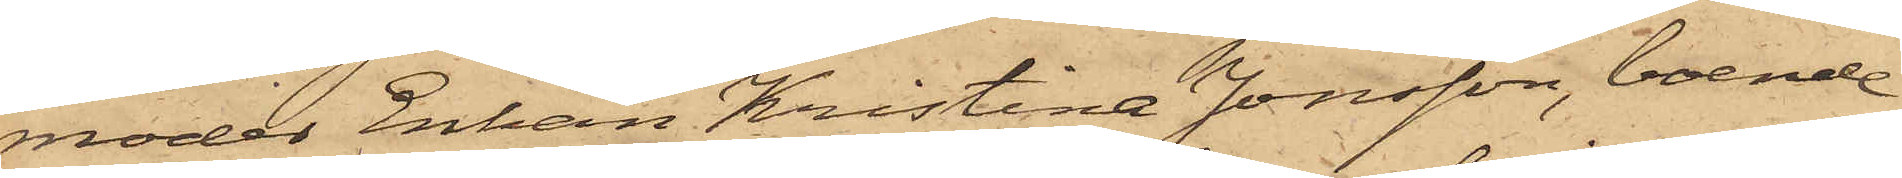moder Enkan Kristina Jonsson, boende
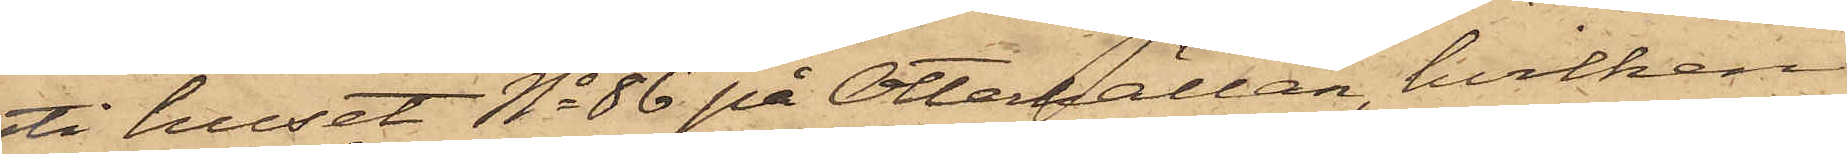uti huset No 86 på Otterhällan, hvilken
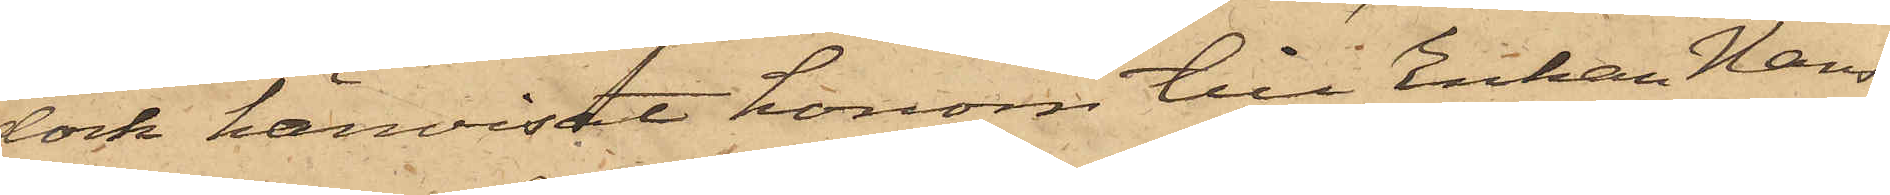dock hänvisat honom till Enkan Hans¬
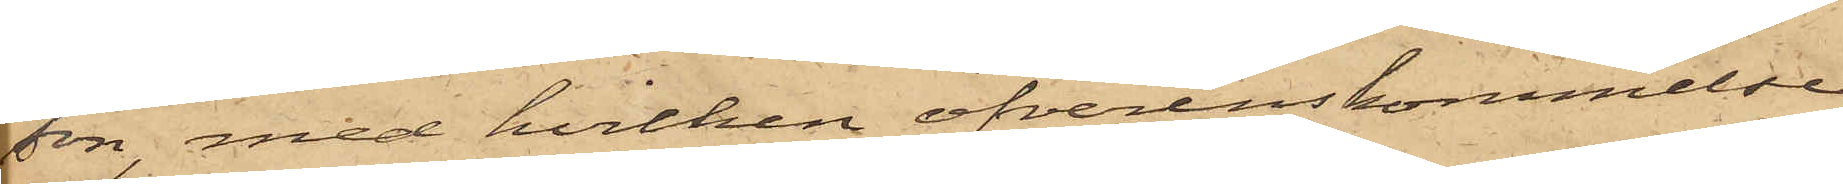son, med hvilken öfverenskommelse
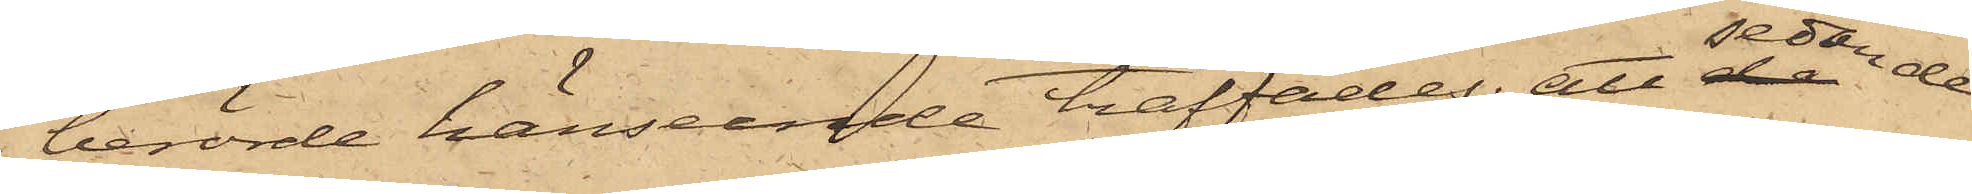i berörde hänseende träffades; att sedan de
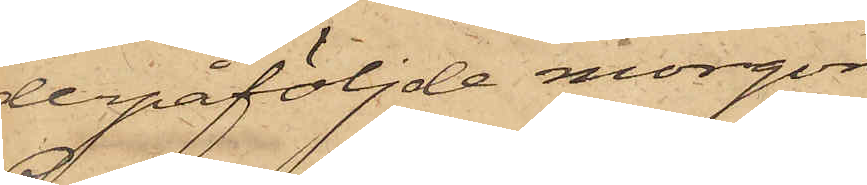derpåföljde morgon
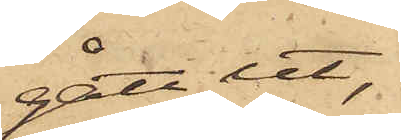gått ut,
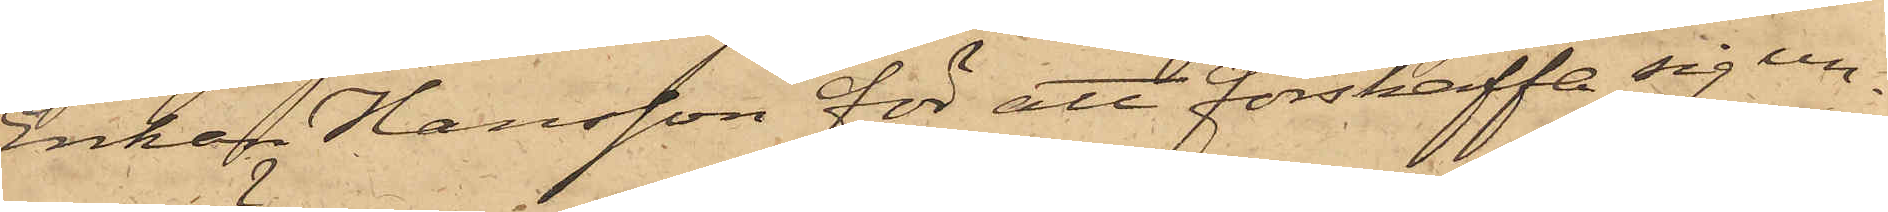Enkan Hansson för att förskaffa sig un¬
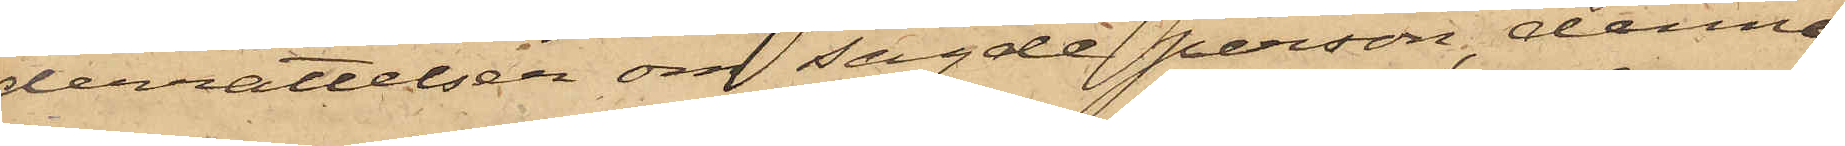derrättelser om sagde person, denne
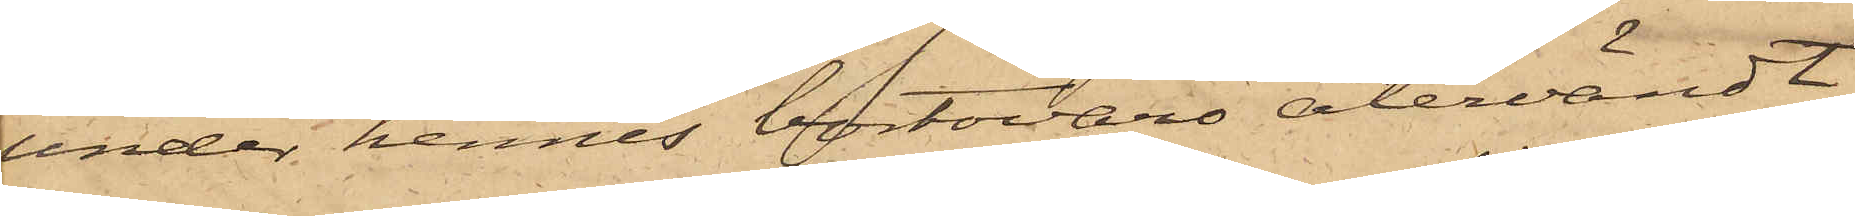under hennes bortovaro återvändt
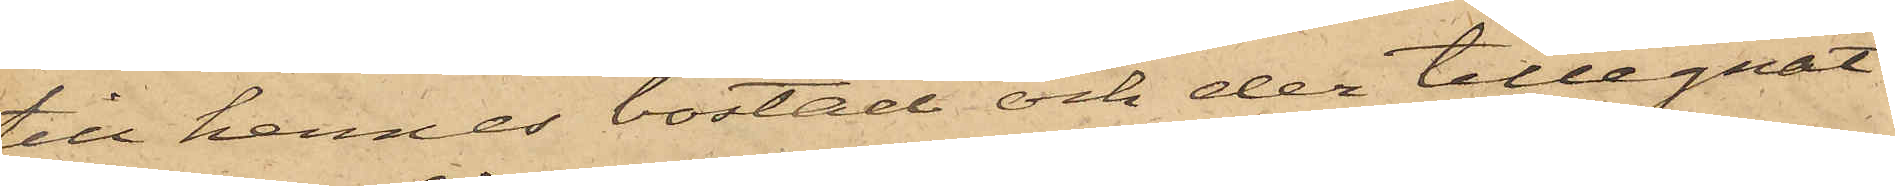till hennes bostad och der tillegnat
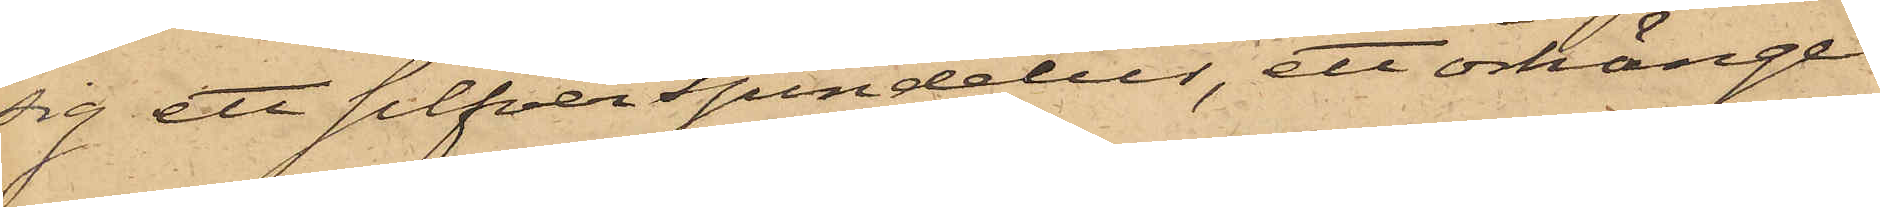sig ett silfverspindelur, ett örhänge
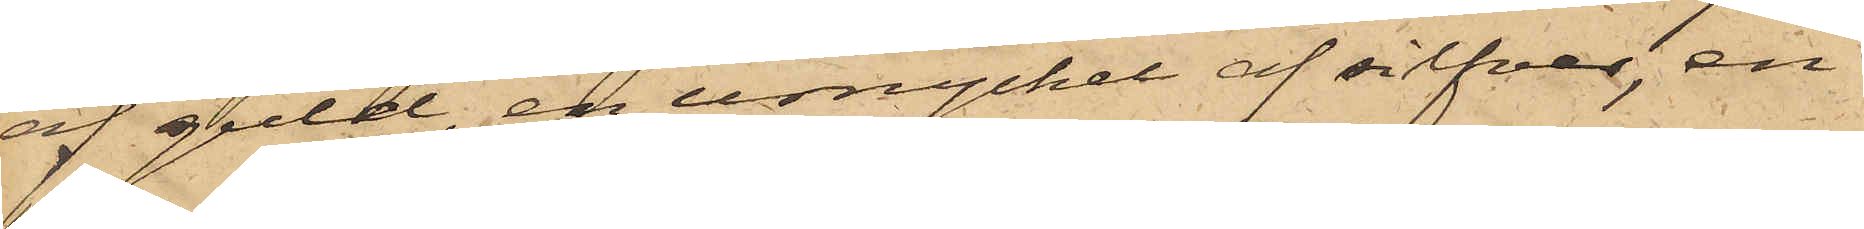af guld, en urnyckel af silfver, en
